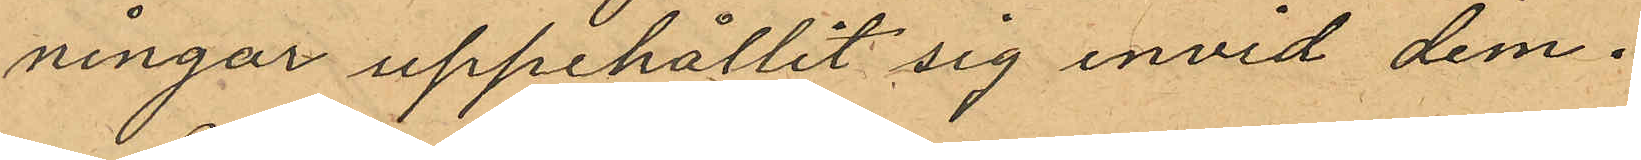ningar uppehållit sig invid dem.
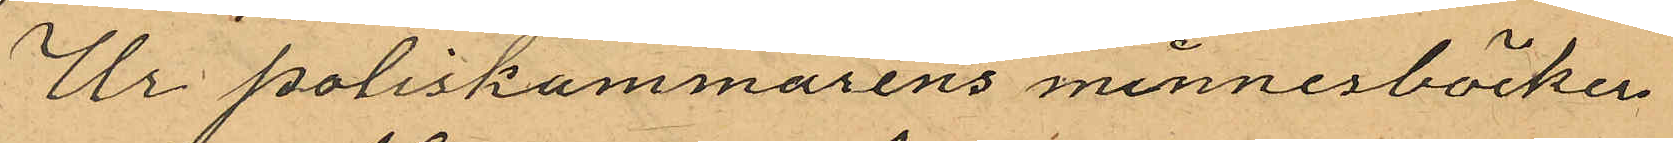Ur poliskammarens minnesböcker
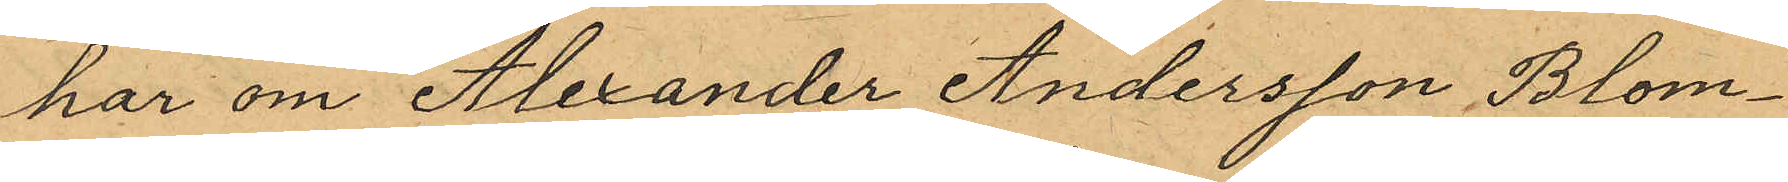har om Alexander Andersson Blom¬
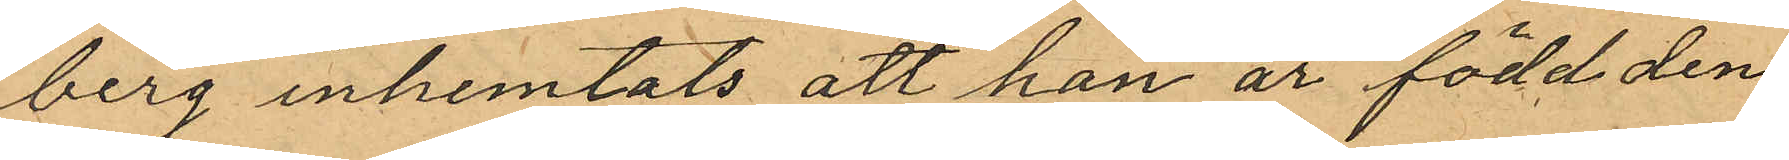berg inhemtats att han är född den
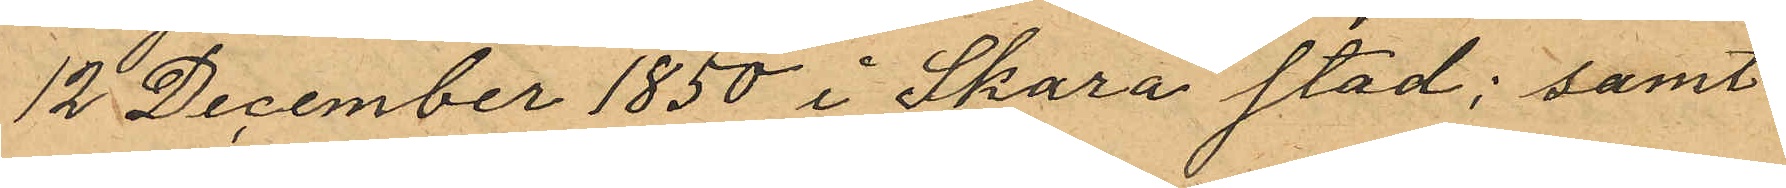12 December 1850 i Skara stad; samt
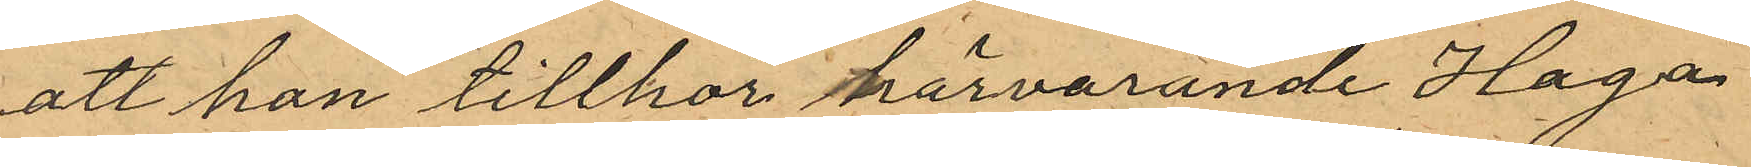att han tillhör härvarande Haga
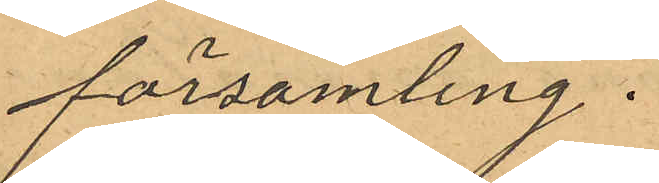församling.
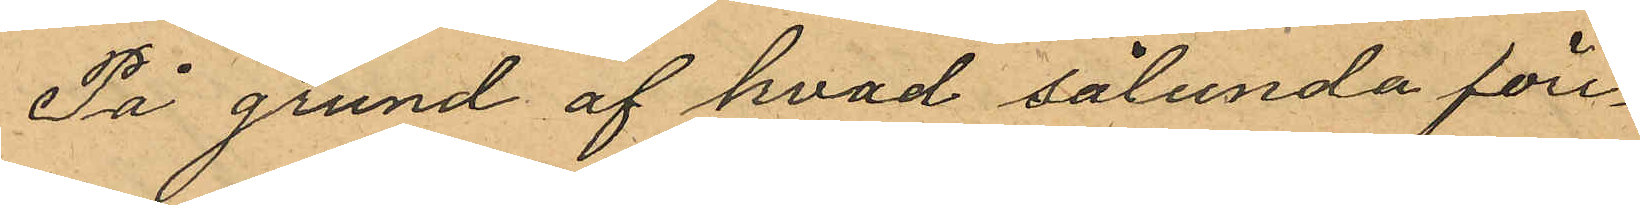På grund af hvad sålunda före¬
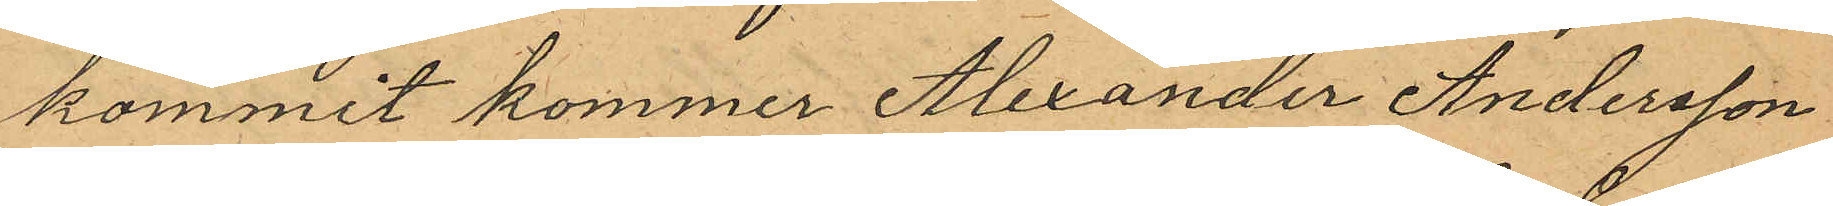kommit kommer Alexander Andersson
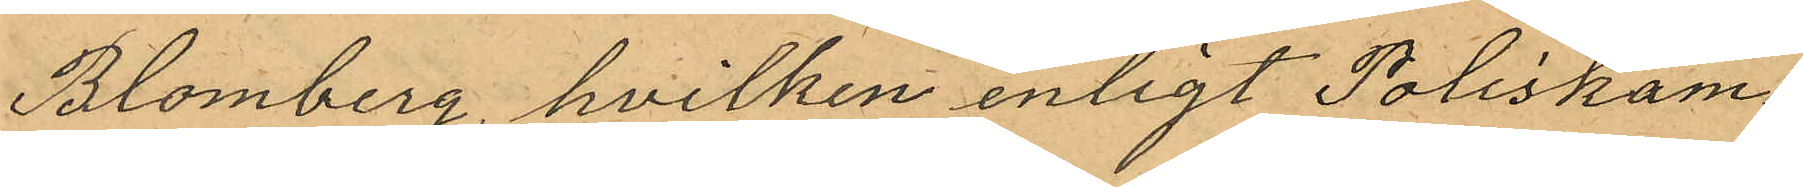Blomberg, hvilken enligt Poliskam¬
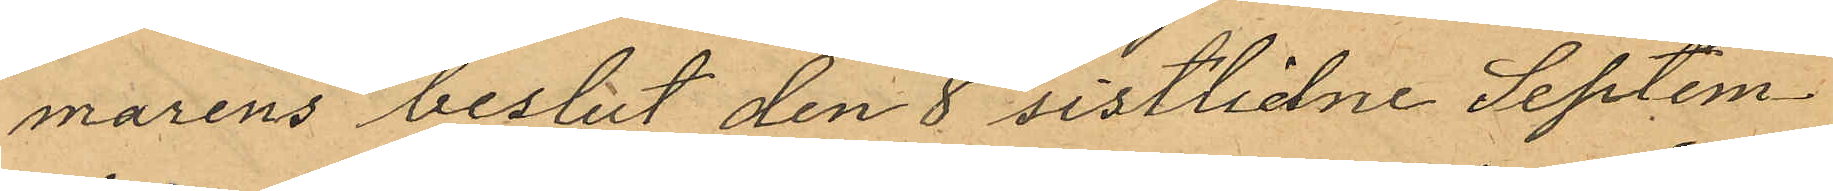marens beslut den 8 sistlidne Septem¬
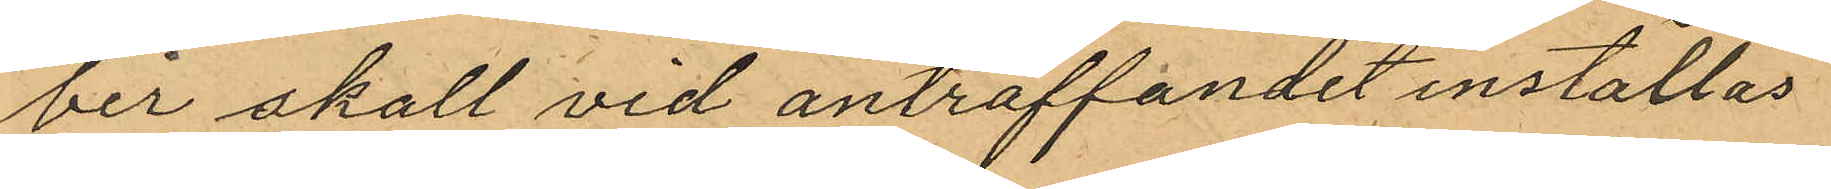ber skall vid anträffandet inställas
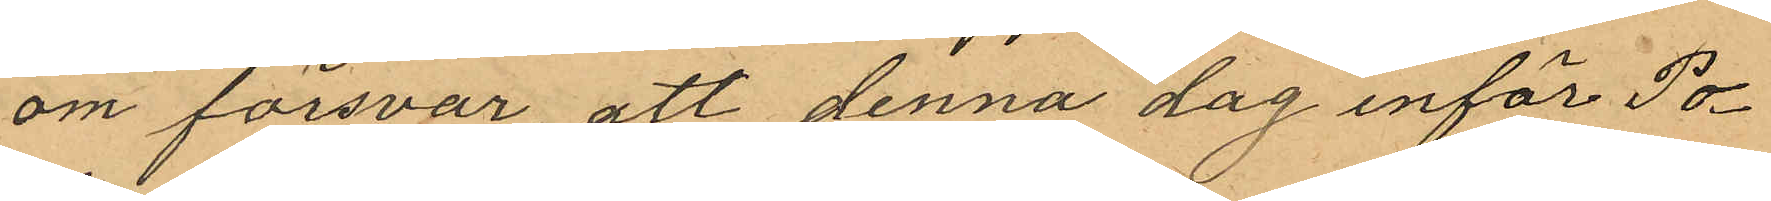om försvar, att denna dag inför Po¬
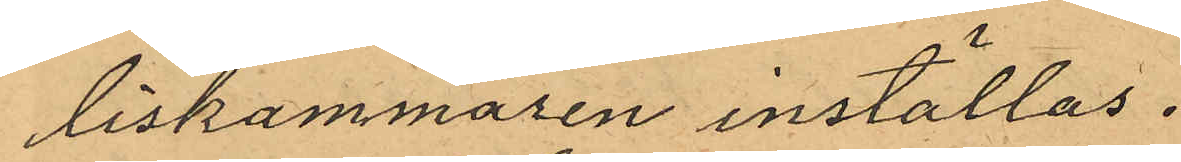liskammaren inställas.
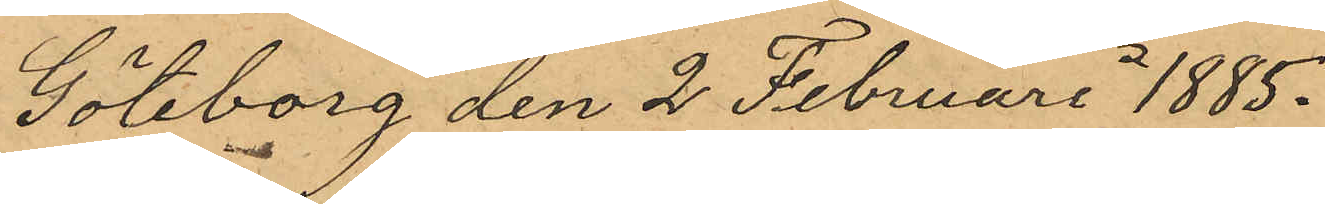Göteborg den 2 Februari 1885.
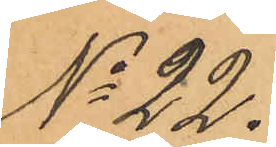No 22.
